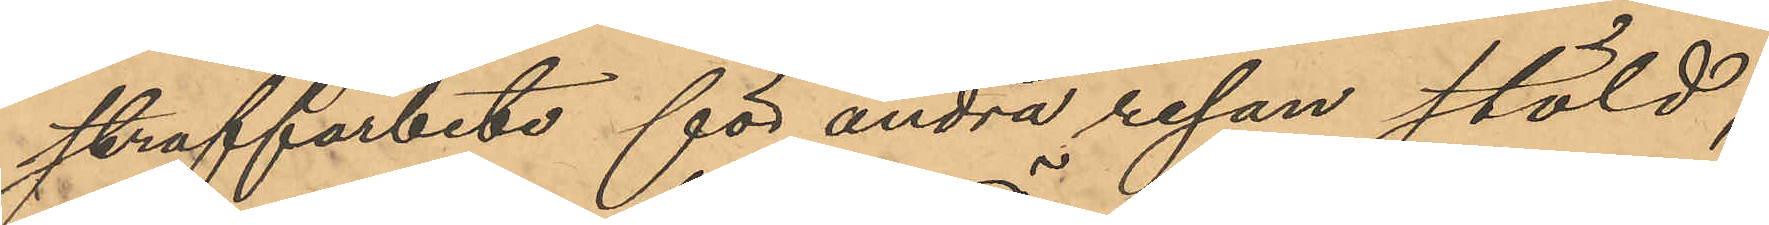straffarbete för andra resan stöld;
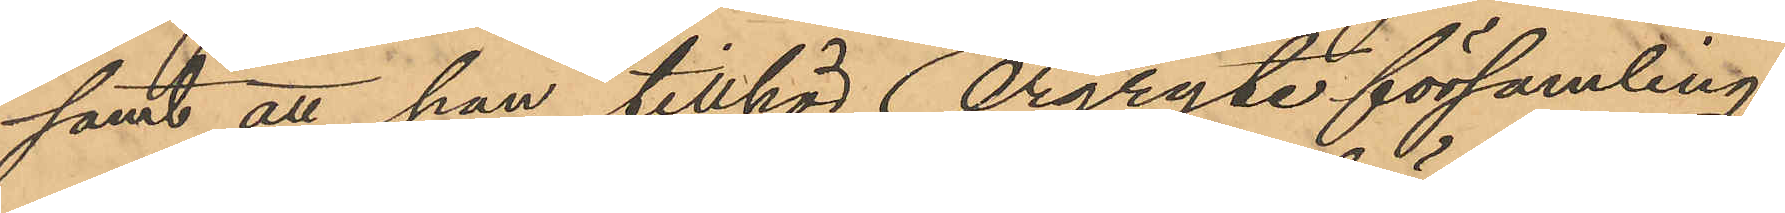samt att han tillhör Örgryte församling.
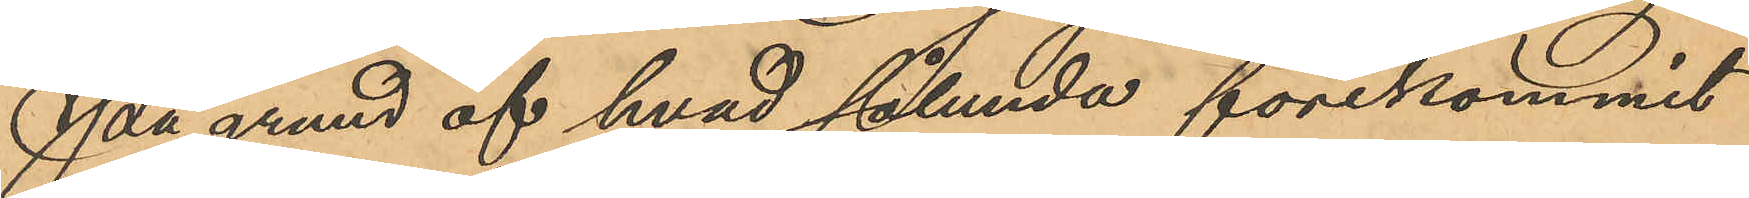På grund af hvad sålunda förekommit
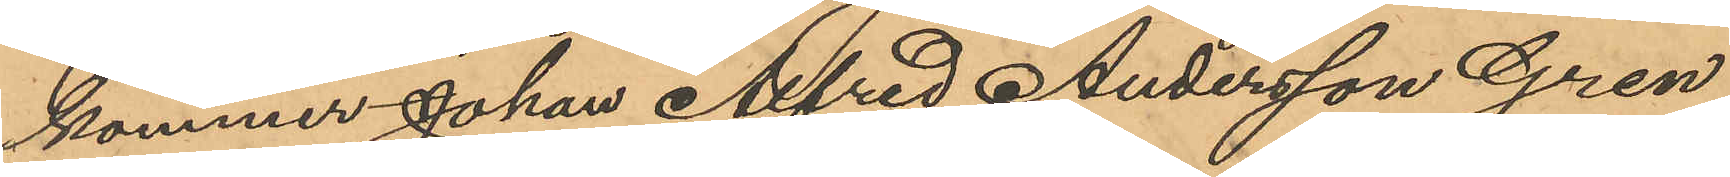kommer Johan Alfred Andersson Gren
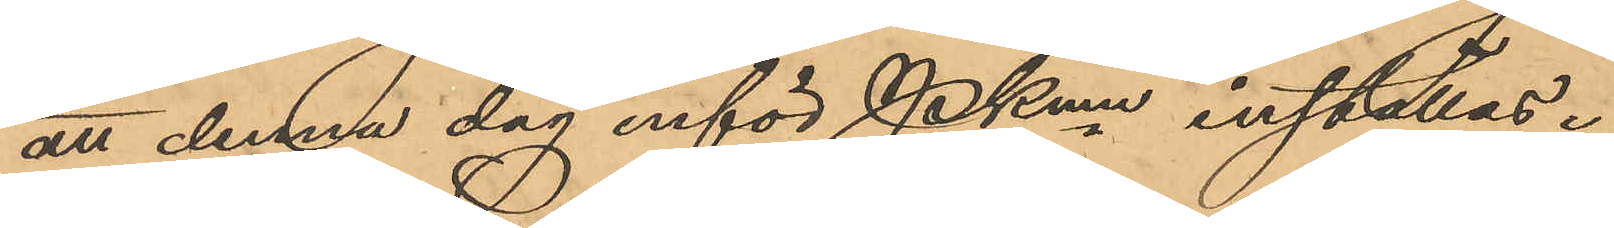att denna dag inför Pkmn inställas.
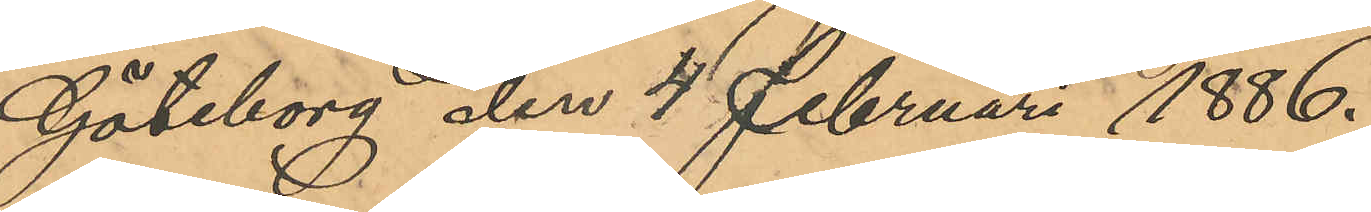Göteborg den 4 Februari 1886.
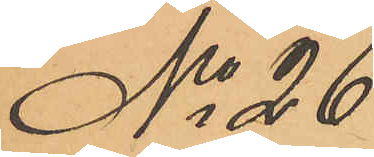No 26
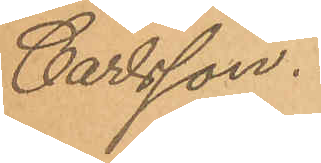Carlsson.
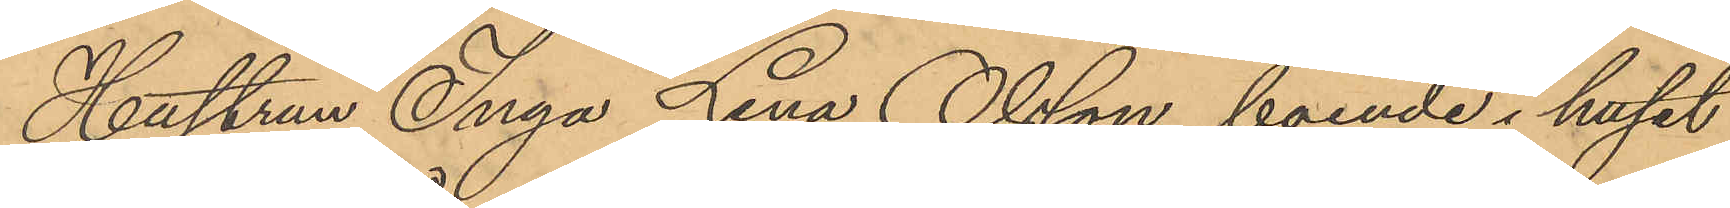Hustrun Inga Lena Olsson, boende i huset
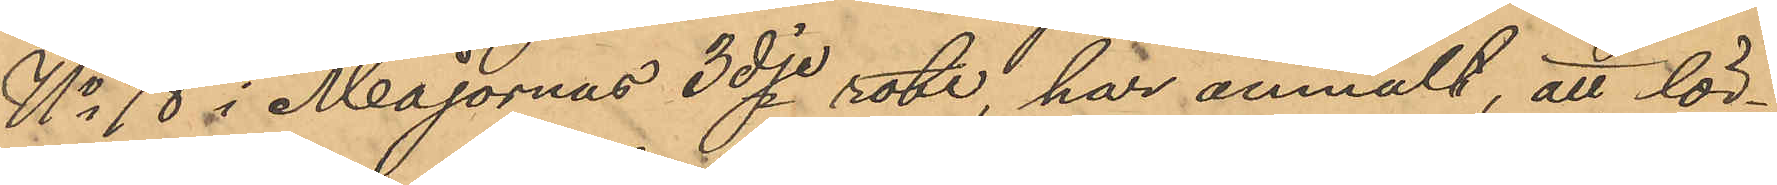No 18 i Majornas 3dje rote, har anmält, att lör¬
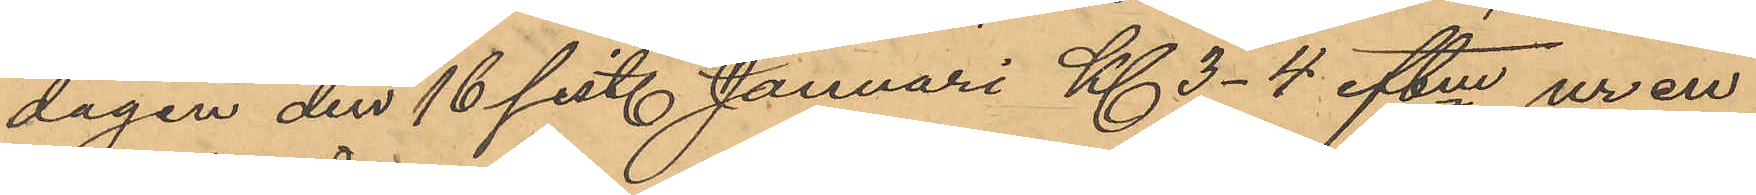dagen den 16 sist. Januari Kl 3-4 eftm ur en
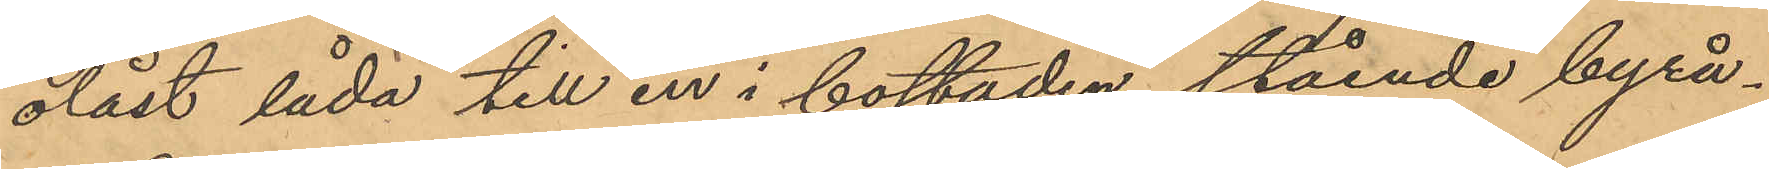olåst låda till en i bostaden stående byrå,
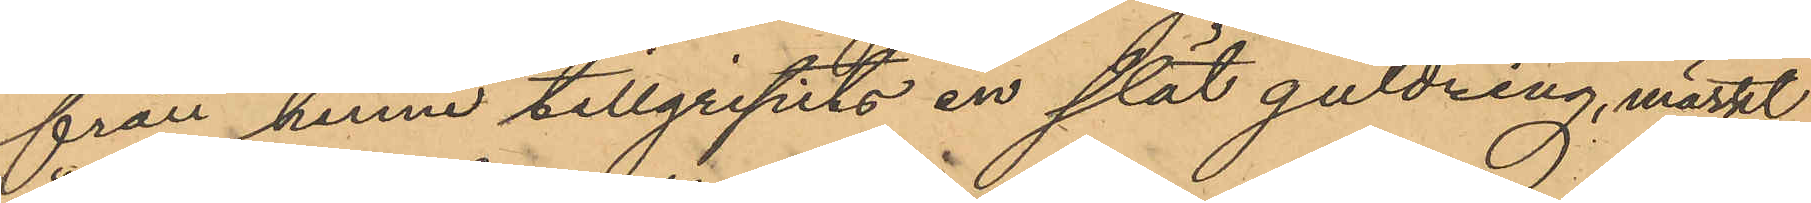från henne tillgripits en slät guldring märkt
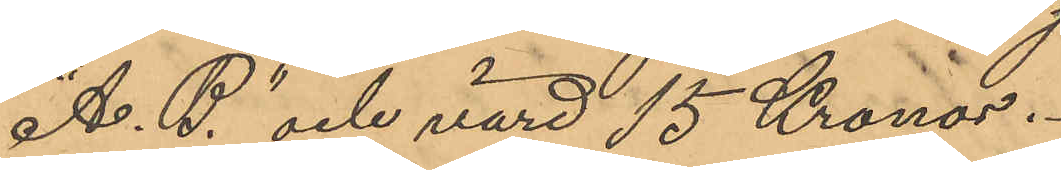"A. B." och värd 15 Kronor.
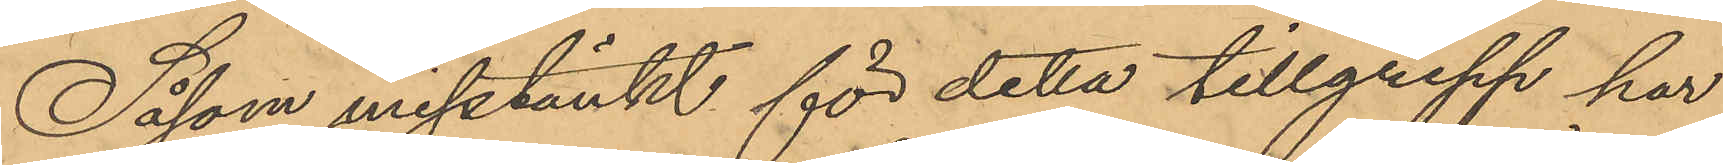Såsom misstänkt för detta tillgrepp har
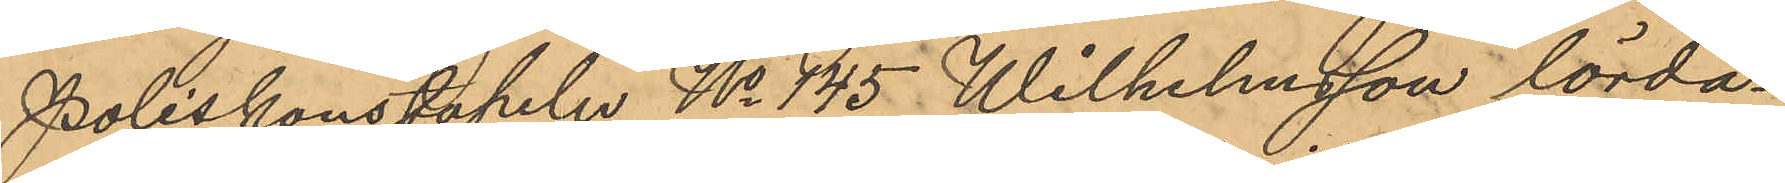Poliskonstapeln No 145 Wilhelmsson lörda¬
